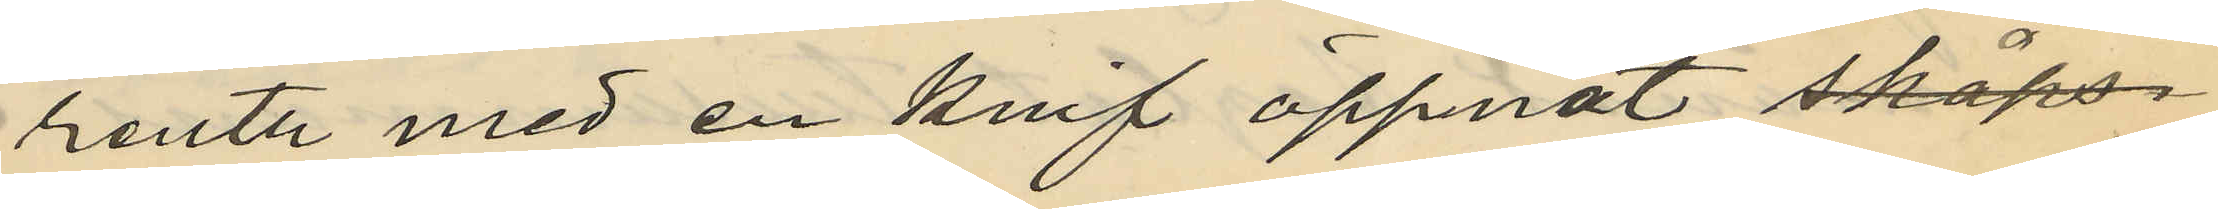rentz med en knif öppnat skåps¬
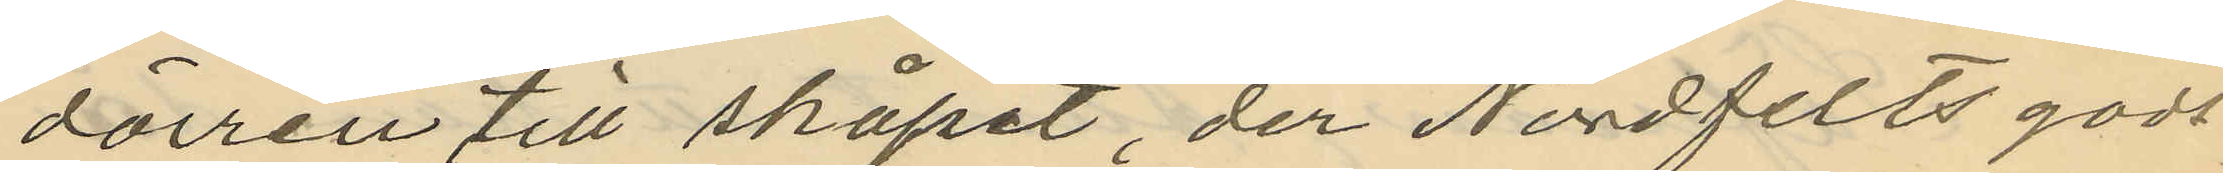dörren till skåpet, der Nordfelts gods
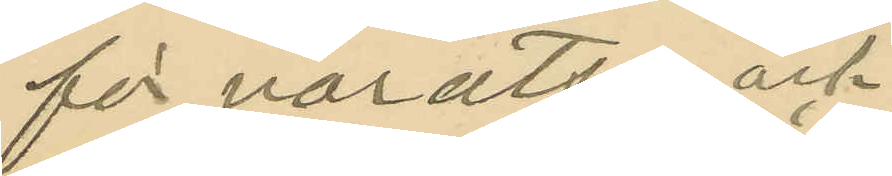förvarats; och
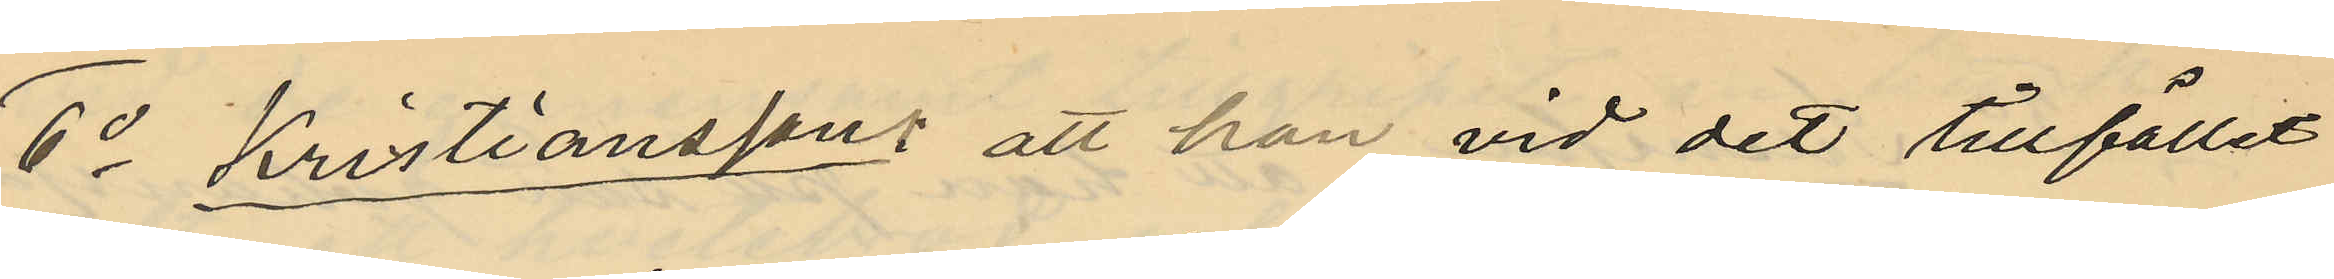6o Kristiansson: att han vid det tillfället
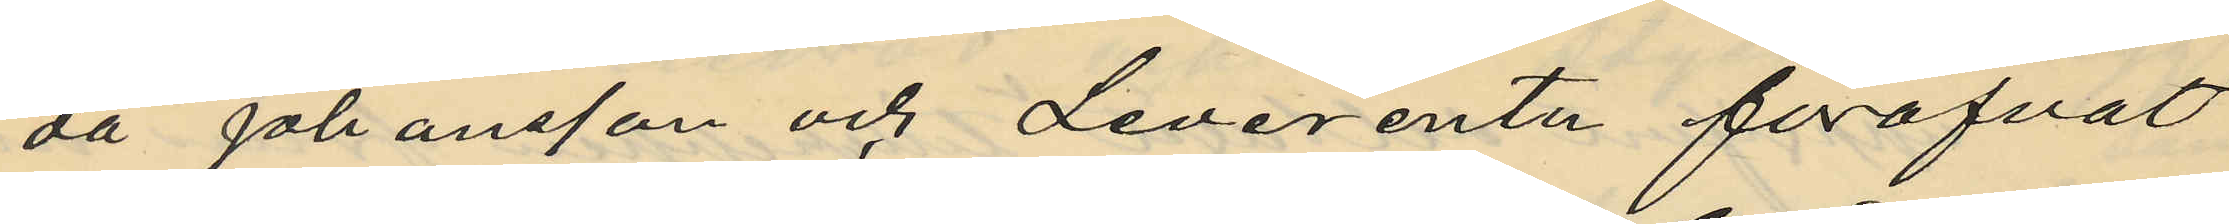då Johansson och Leverentz föröfvat
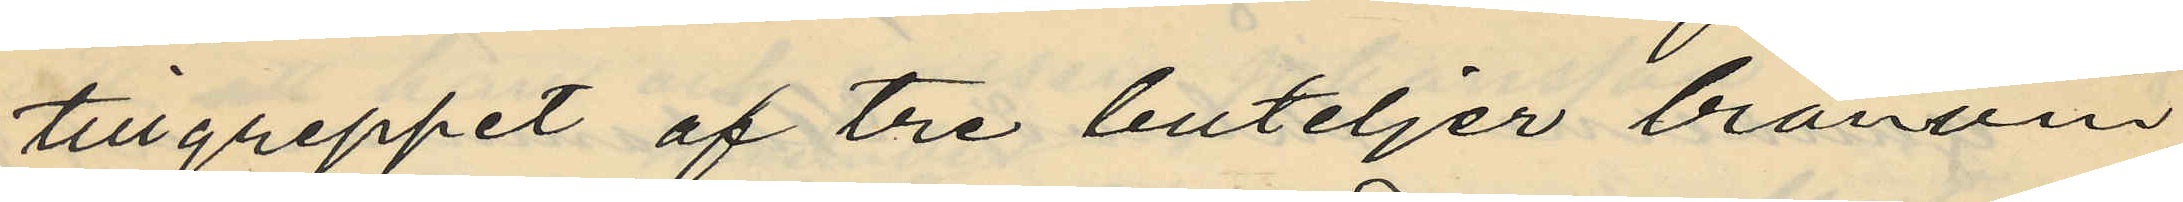tillgreppet af tre buteljer bränvin
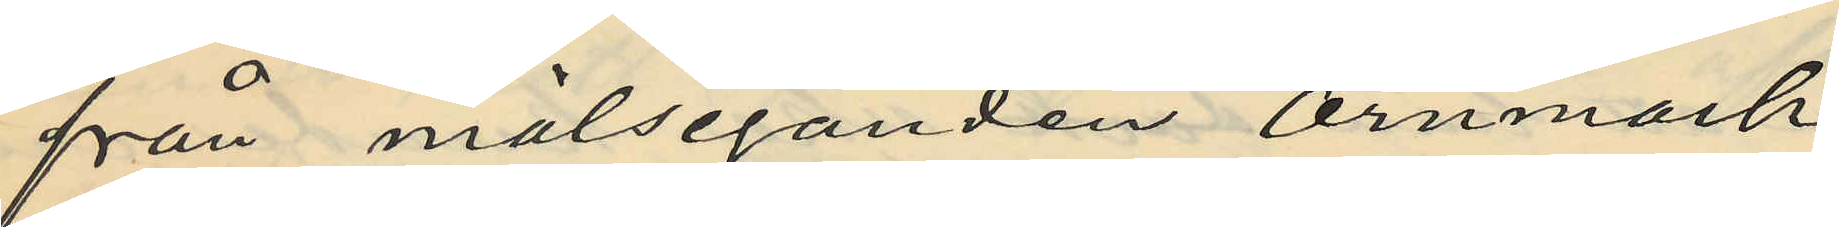från målseganden Örnmark
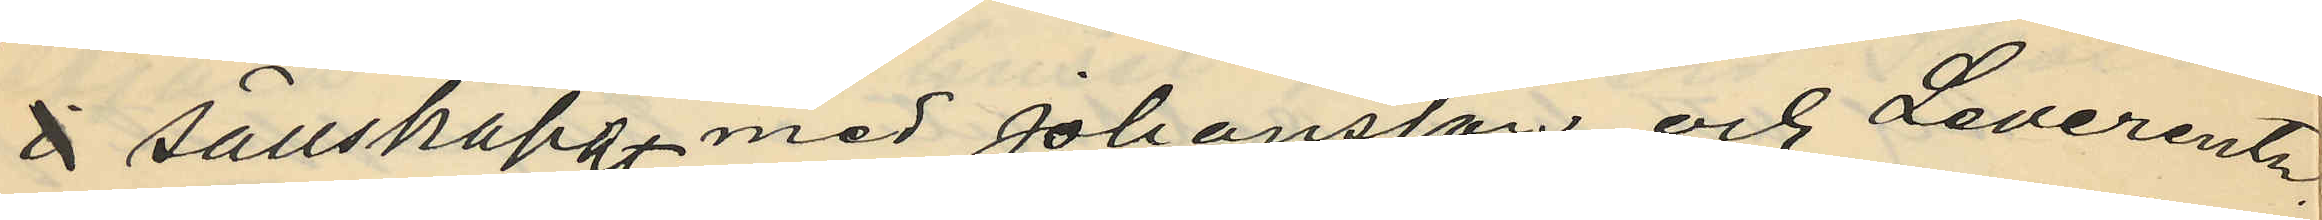 i sällskapat med Johansson och Leverentz
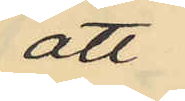att
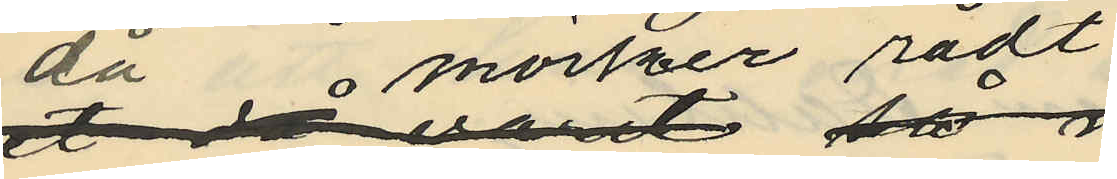då mörker rådt
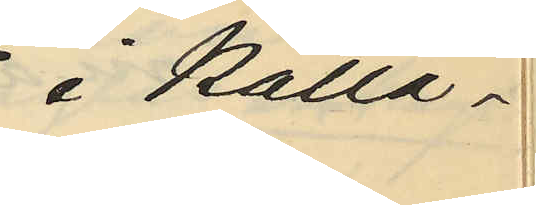i källa¬
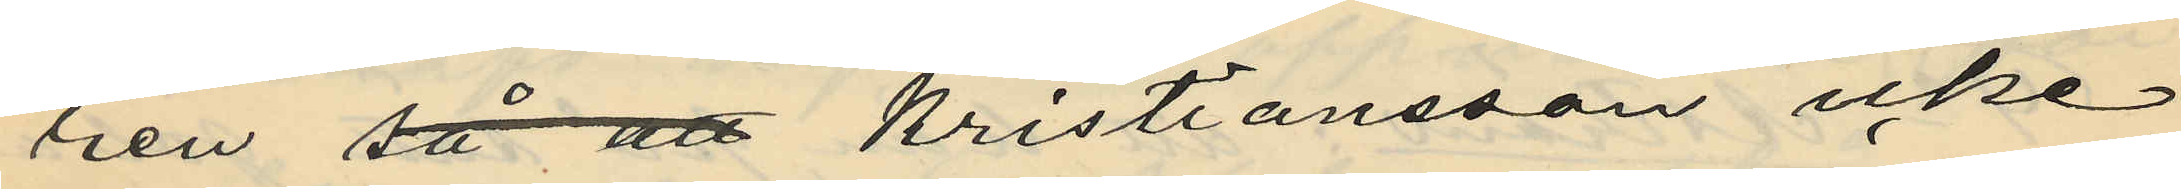ren så att Kristiansson icke
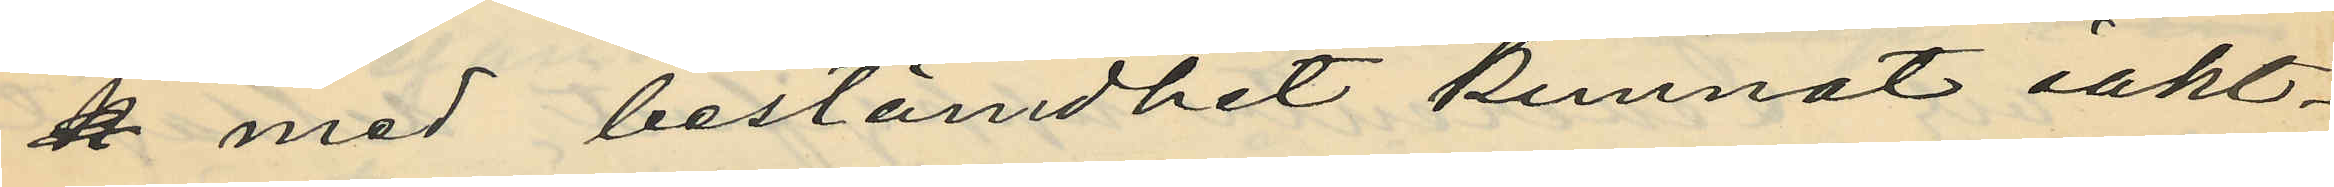℔ med bestämdhet kunnat iakt¬
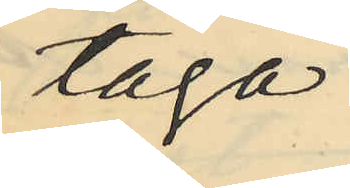taga
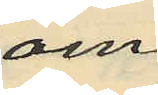om
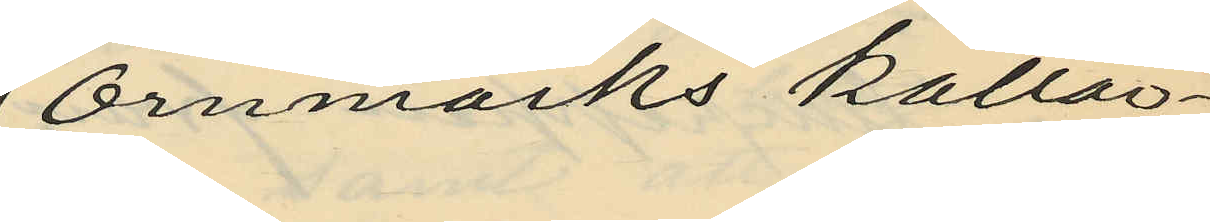Örnmarks källar¬
